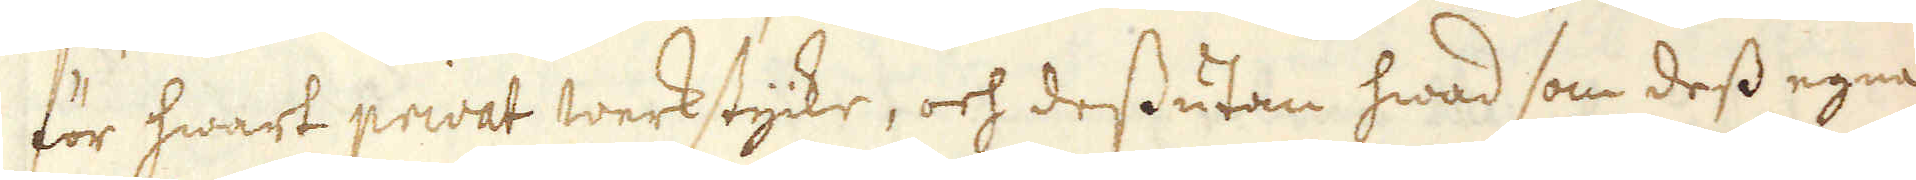för hwart privat werkstycke, och dessutan hwad som dess egna
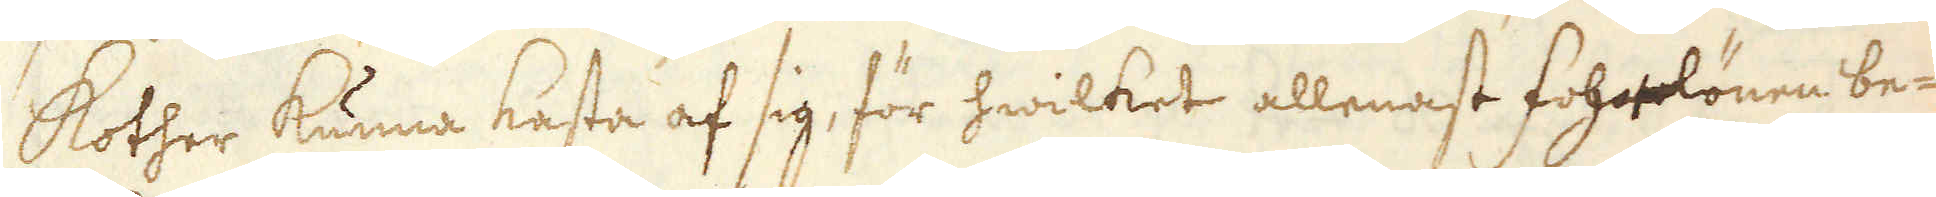Kother kunna kasta af sig, för hwilket allenast fohrlönen be-
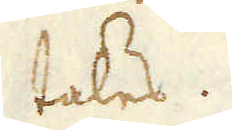tales.
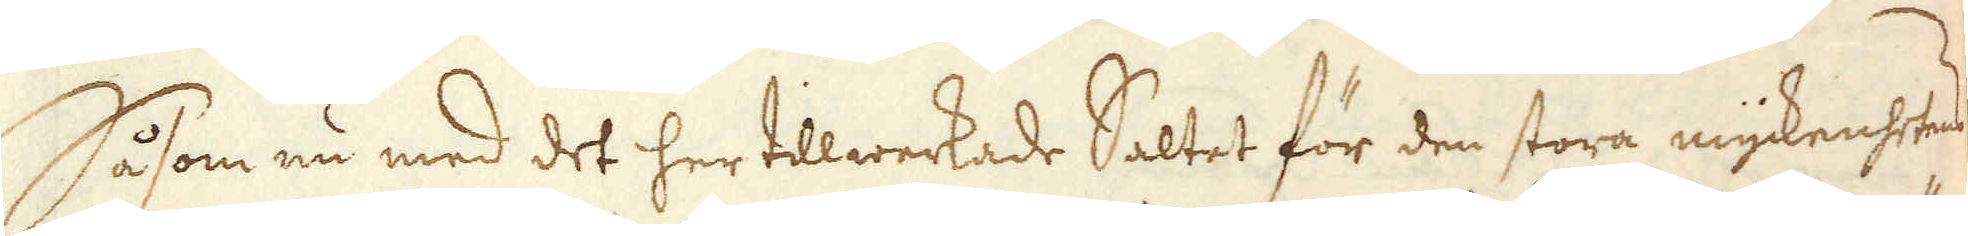Såsom nu med det her tillwerkade Saltet för den stora myckenhetens
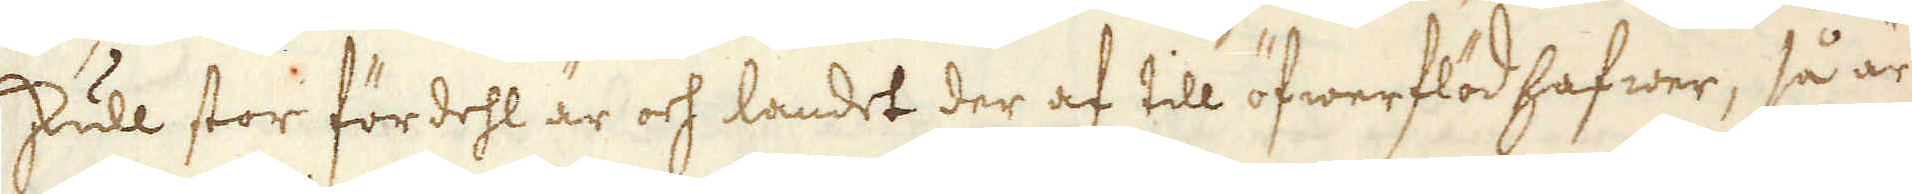skull stor fördehl är och landet der af till öfwerflöd hafwer, så är
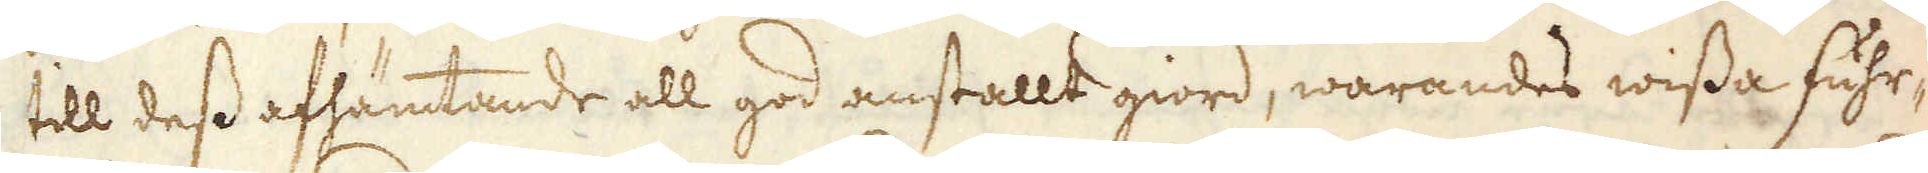till dess afhämtande all god anstallt giord, warandes wissa Fuhr-
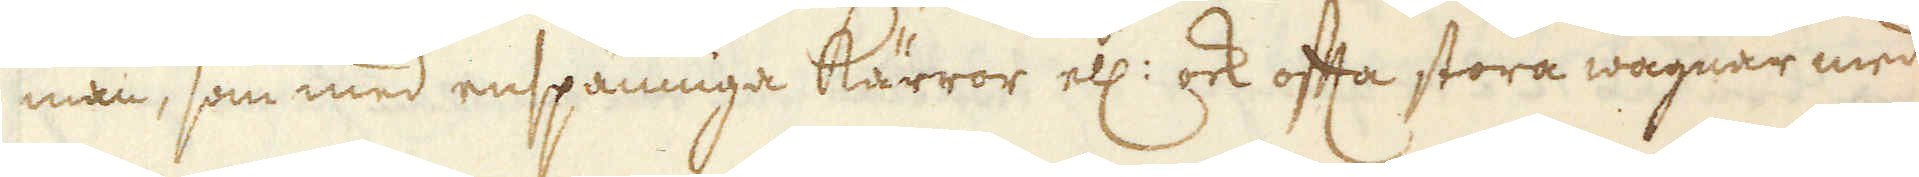män, som med enspänniga kärror ell: ock offta stora wagnar med
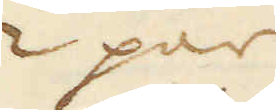2 par
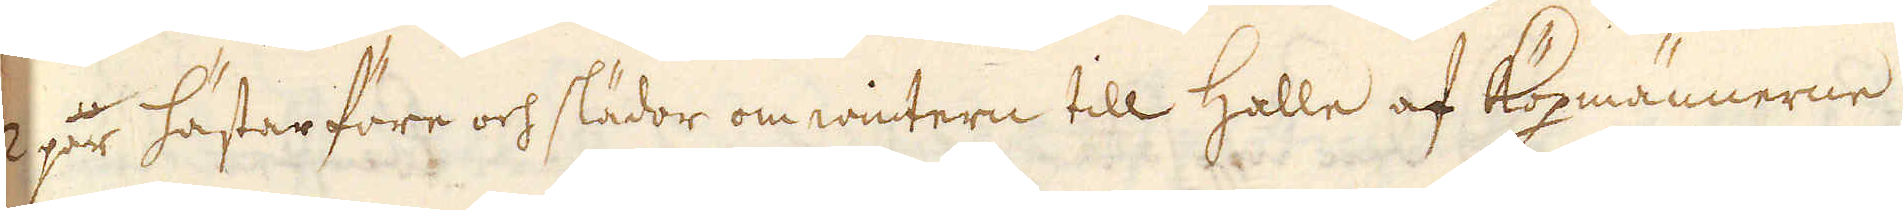2 par hästar före och slädor om wintern till Halle af Köpmännerne
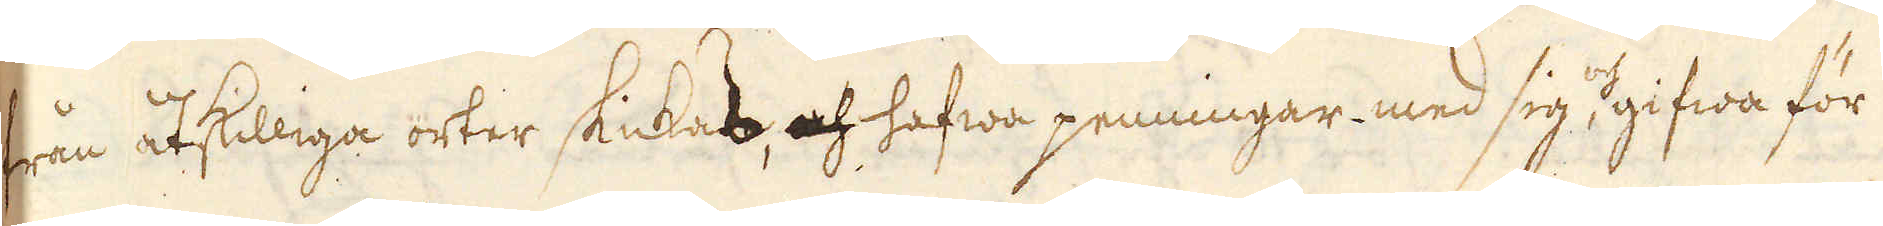från åtskilliga orter skickas, och hafwa penningar med sig, och gifwa för
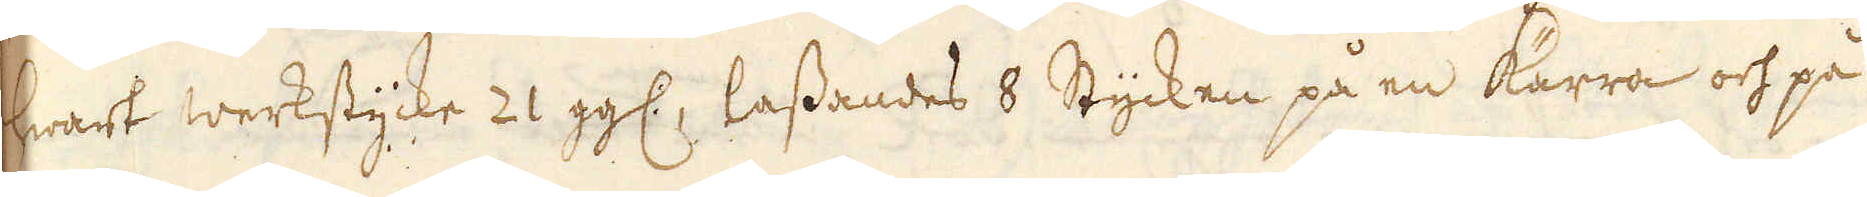wart werkstycke 21 gg:, lassandes 8 Stycken på en kärra och på
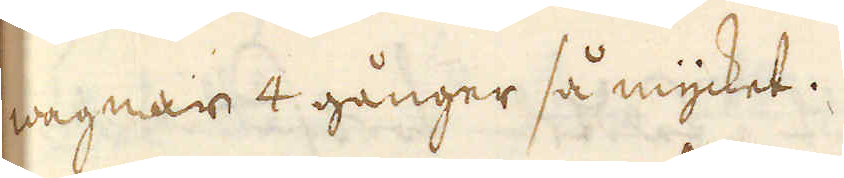wagnar 4 gånger så mycket.
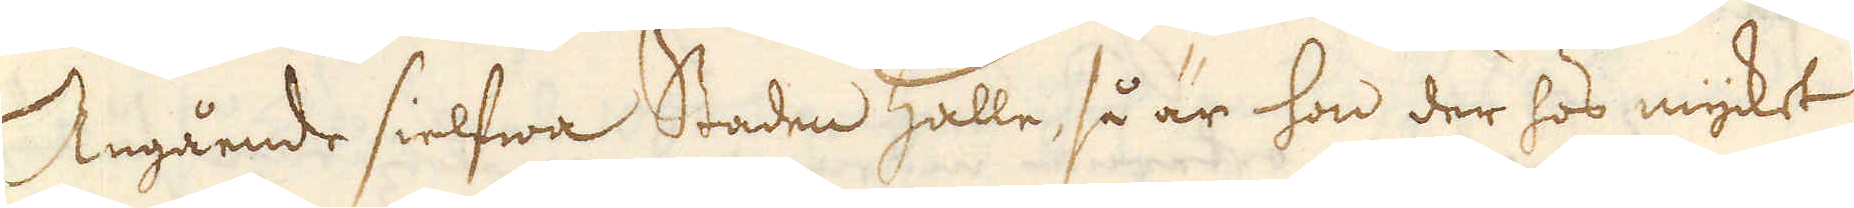Angående sielfwa Staden Halle, så är hon der hos mycket
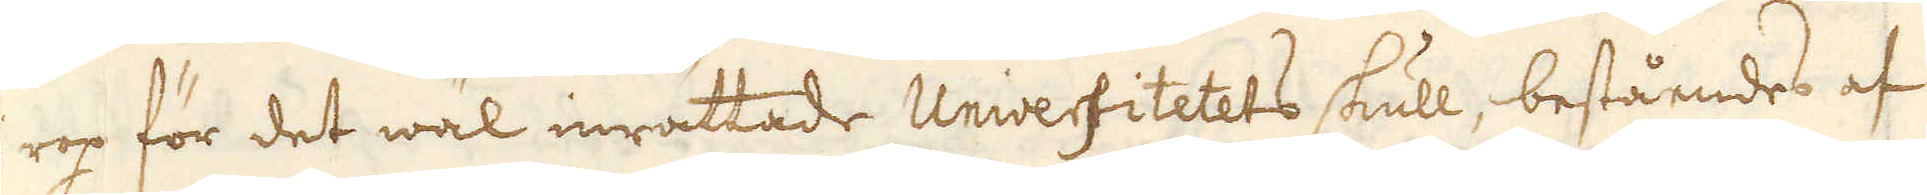i rop för det wäl inrättade Universitetets skull, beståendes af
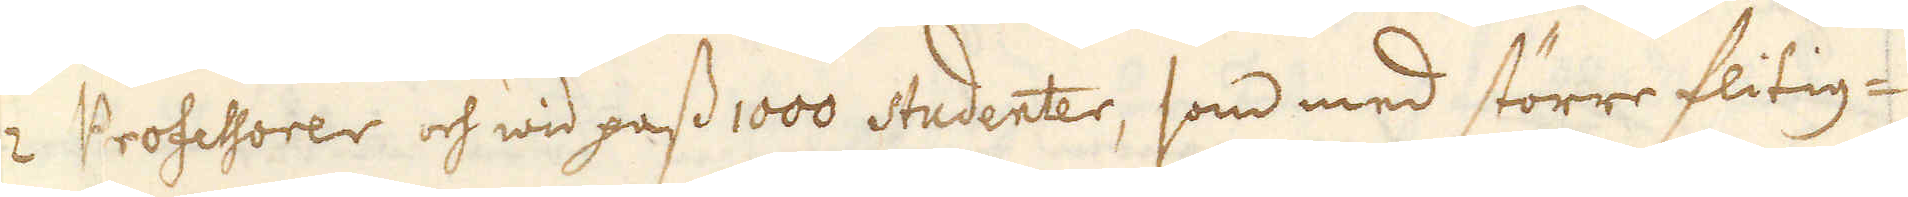12 Professorer och wid pass 1000 studenter, som med större flitig-
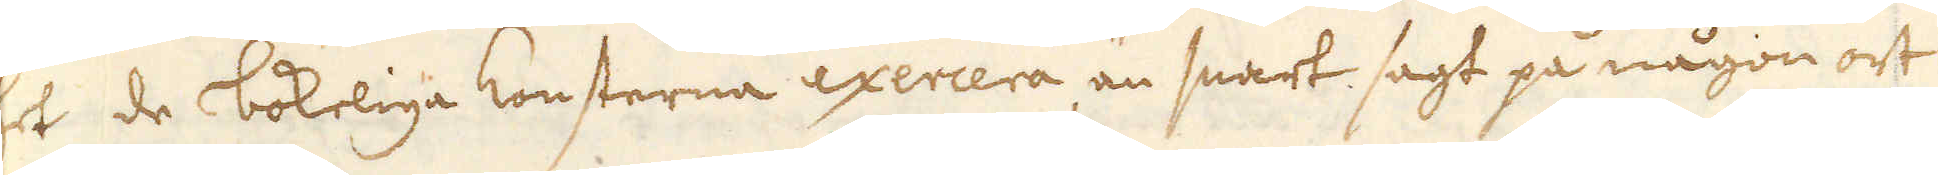het de bokeliga konsterna exercera, än snart sagt på någon ort
